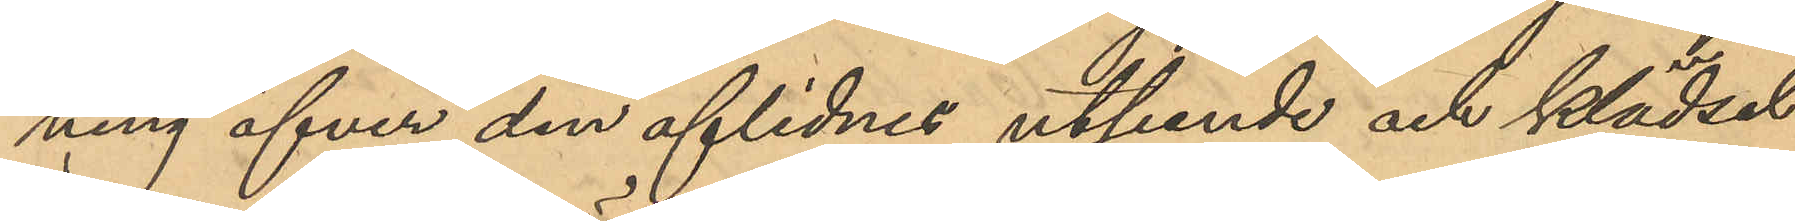ning öfver den aflidnes utseende och klädsel
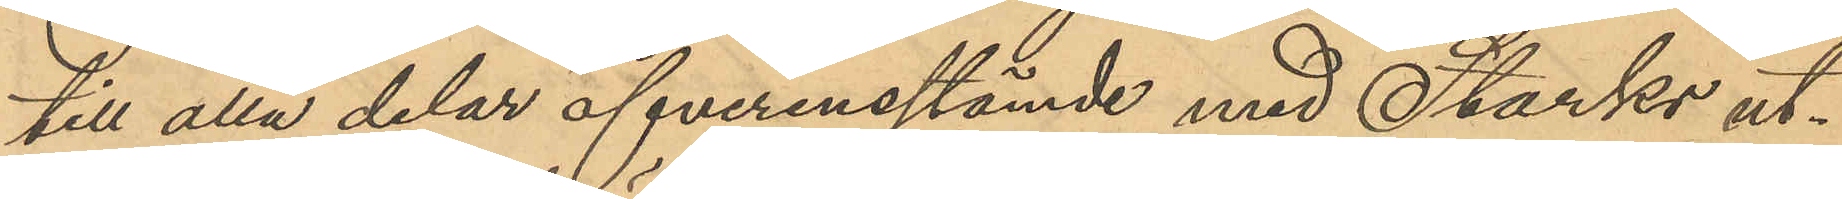till alla delar öfverensstämde med Storks ut¬
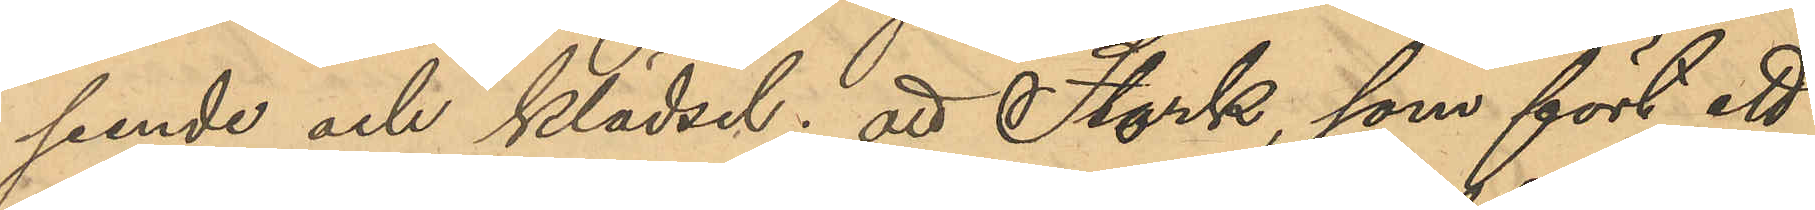seende och klädsel; att Stork, som fört ett
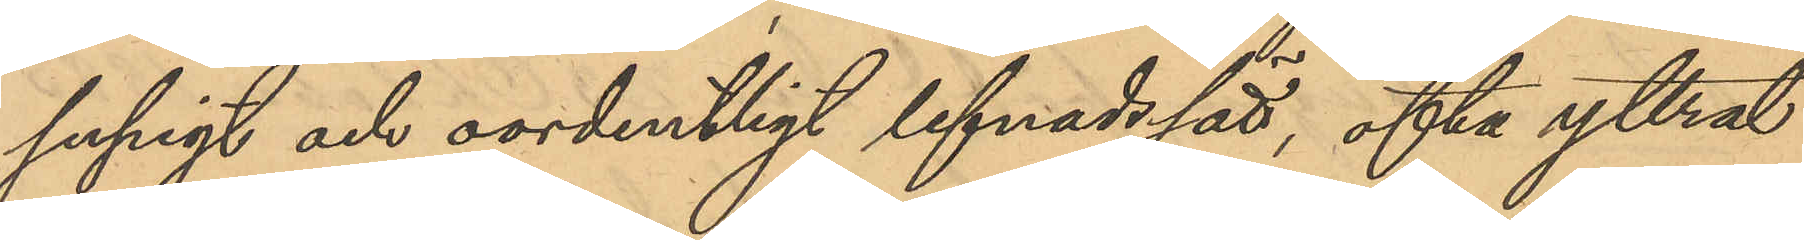supigt och oordentligt lefnadssätt, ofta yttrat
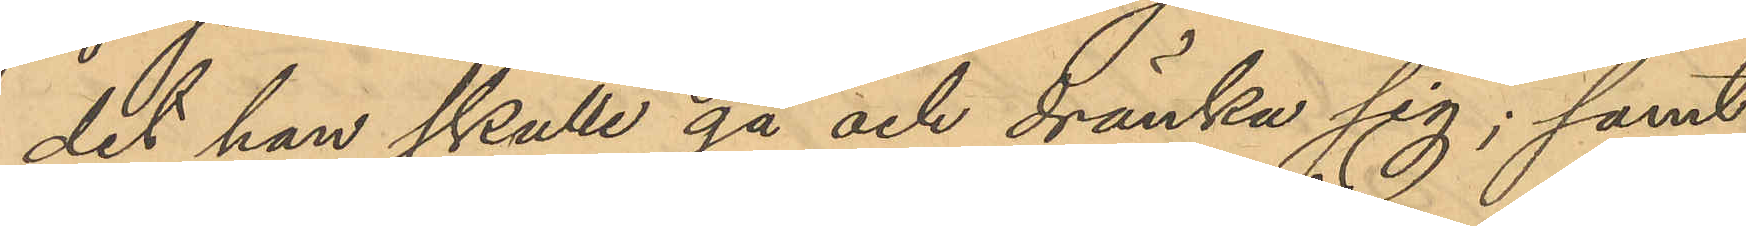det han skulle gå och dränka sig; samt
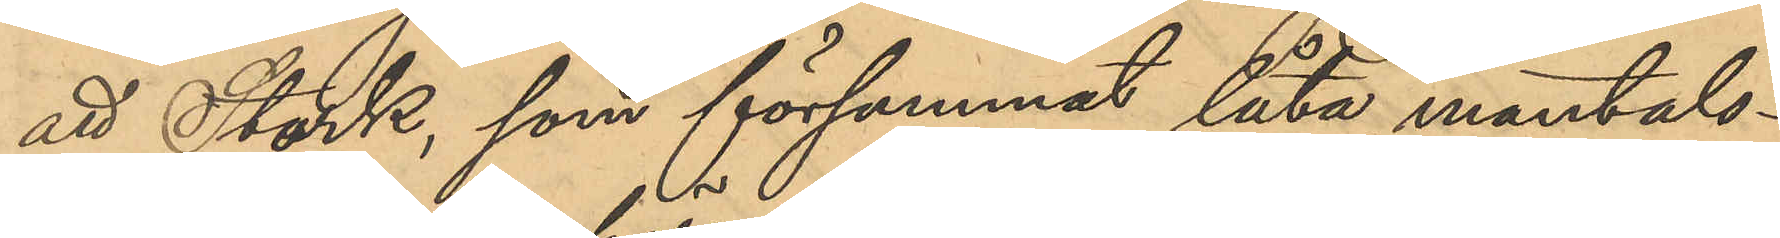att Stork, som försummat låta mantals¬
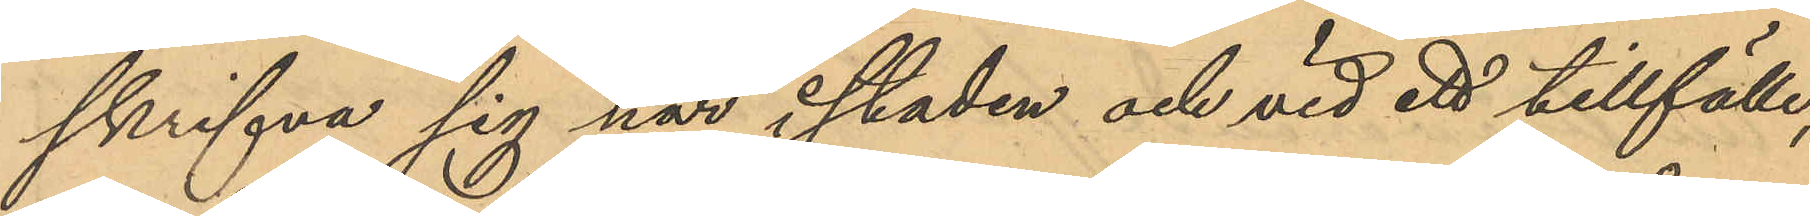skrifva sig här i staden och vid ett tillfälle,
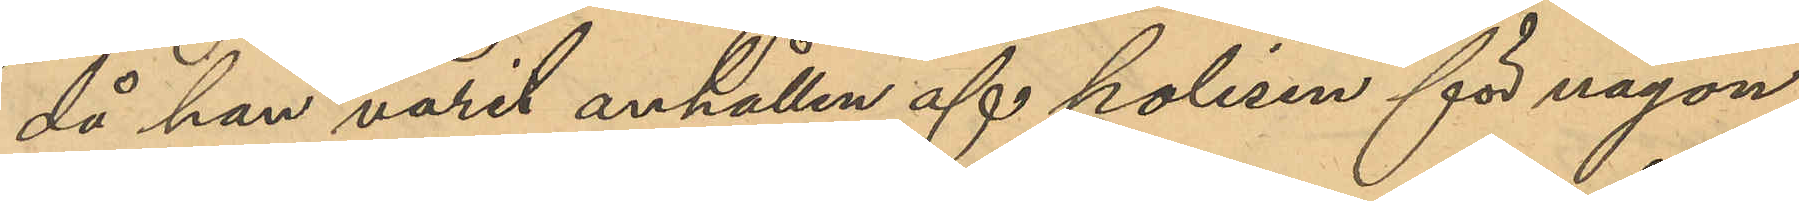då han varit anhållen af polisen för någon
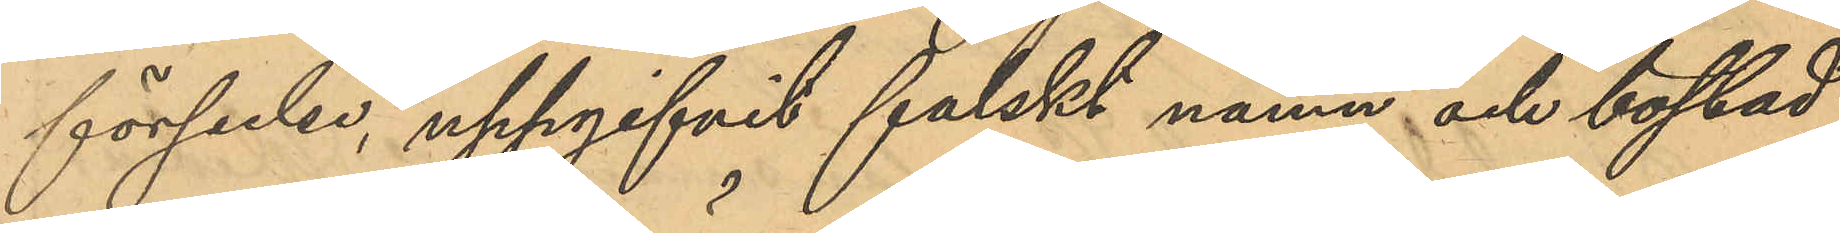förseelse, uppgifvit falskt namn och bostad,
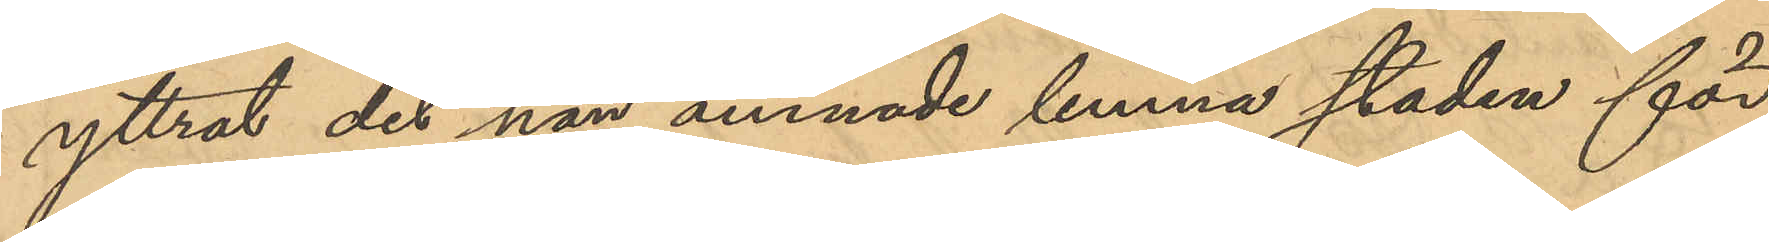yttrat det han ämnade lemna staden för
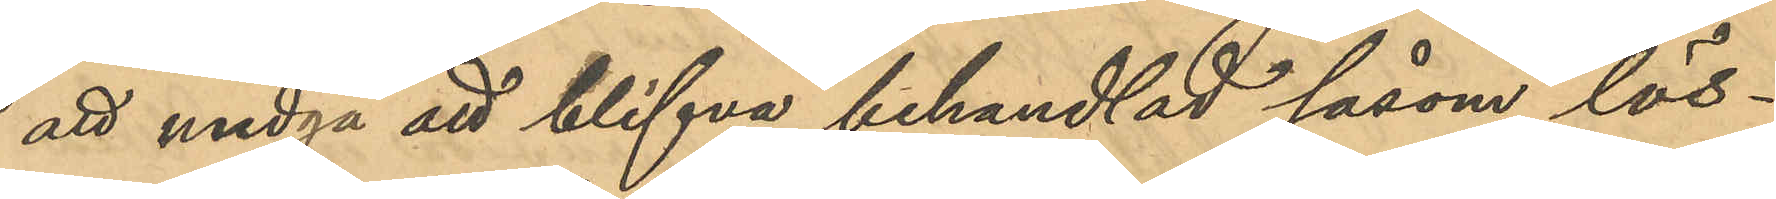att undgå blifva behandlad såsom lös¬
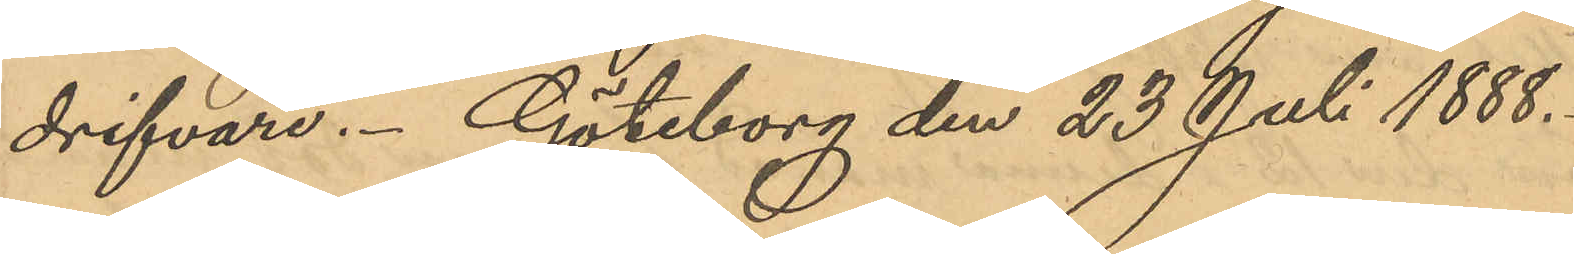drifvare. Göteborg den 23 Juli 1888.
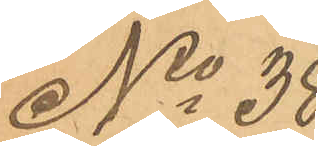No 38
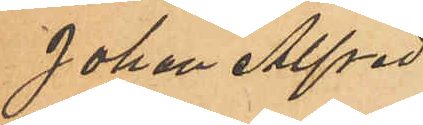Johan Alfred
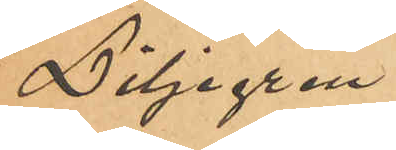Liljegren.
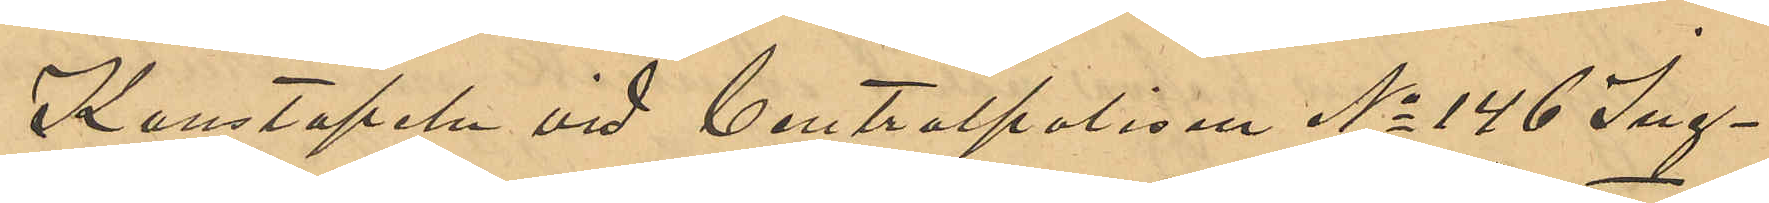Konstapeln vid Centralpolisen No 146 Ing¬
